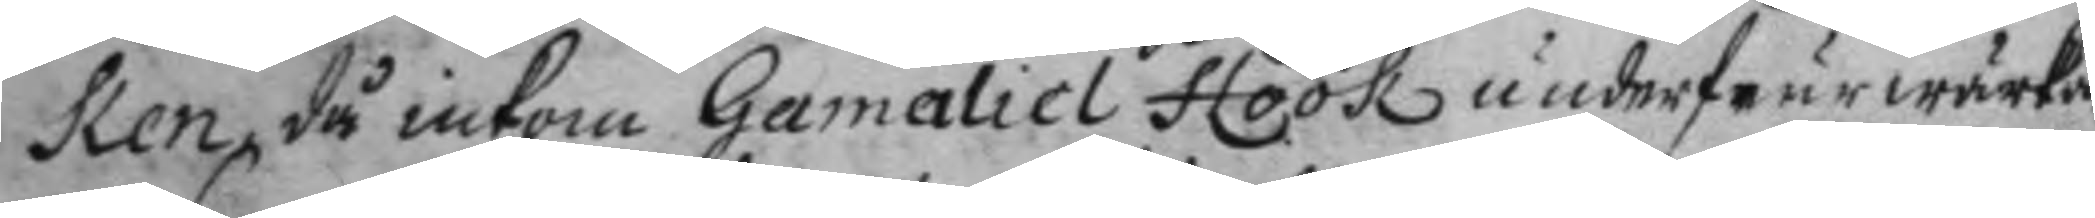ken, då inkom Gamaliel Höök underfeurwärka¬
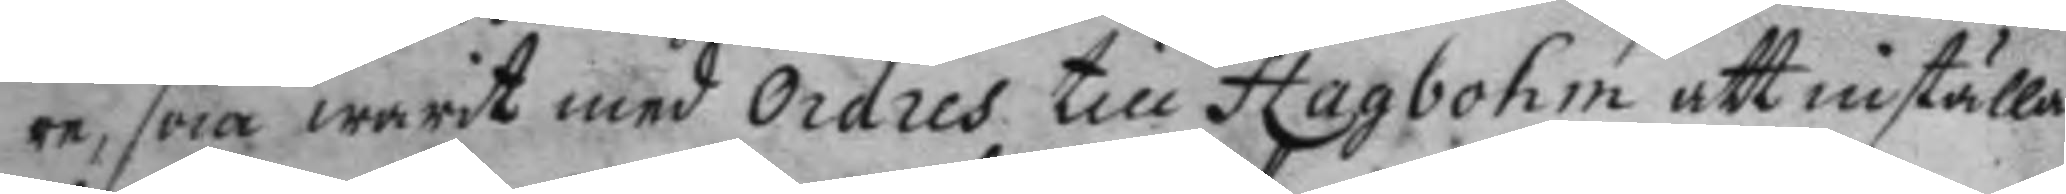re, som warit med Ordres till Hagbohm att inställa
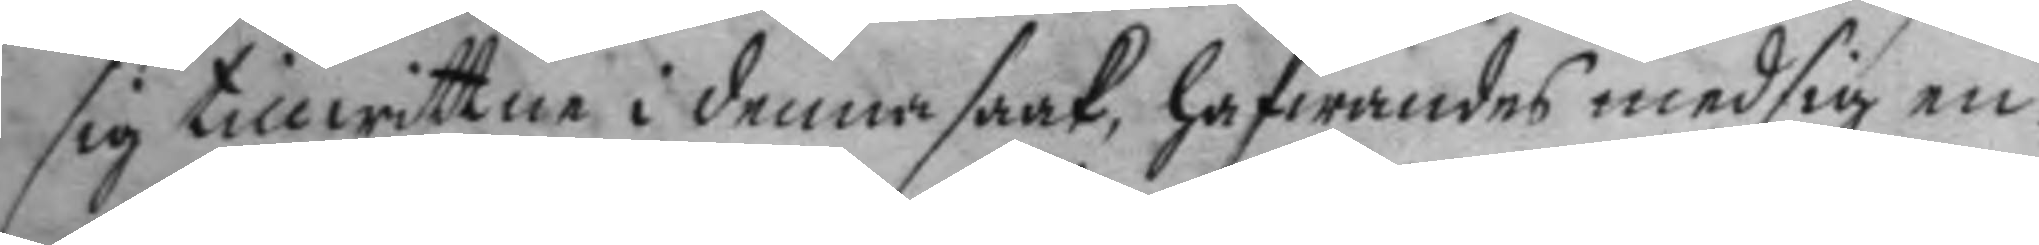sig till wittne i denna saak, hafwandes med sig en
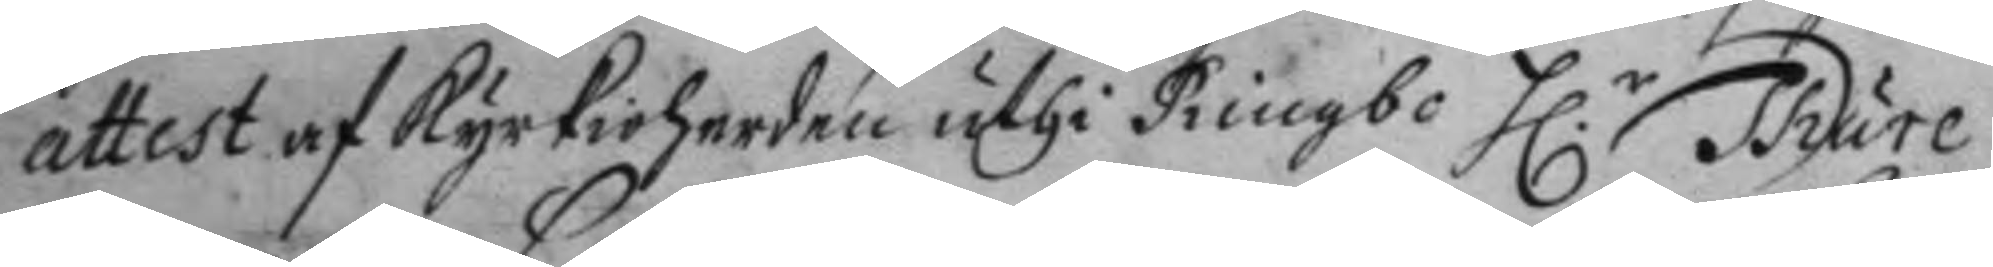attest af kyrkioherden uthi Rimbo H.r Thure
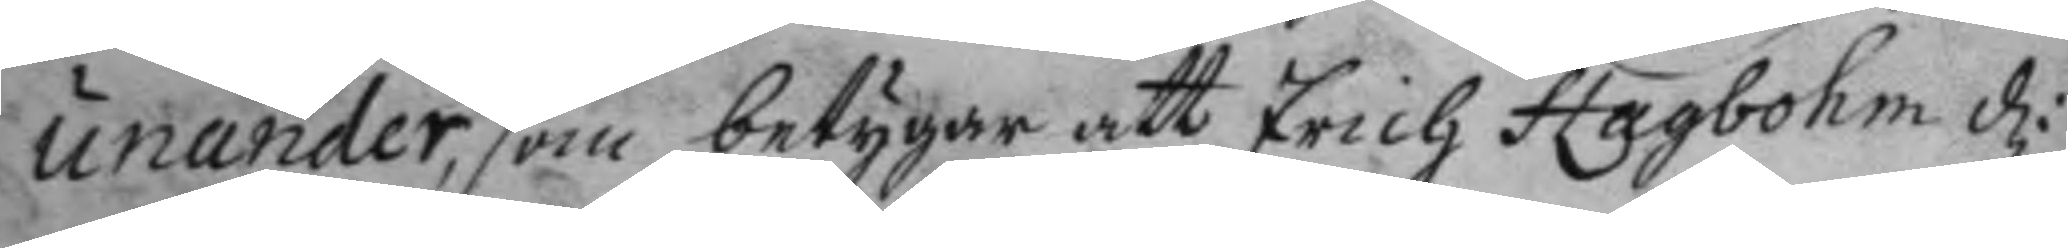unander, som betygar att Erich Hagbohm d:
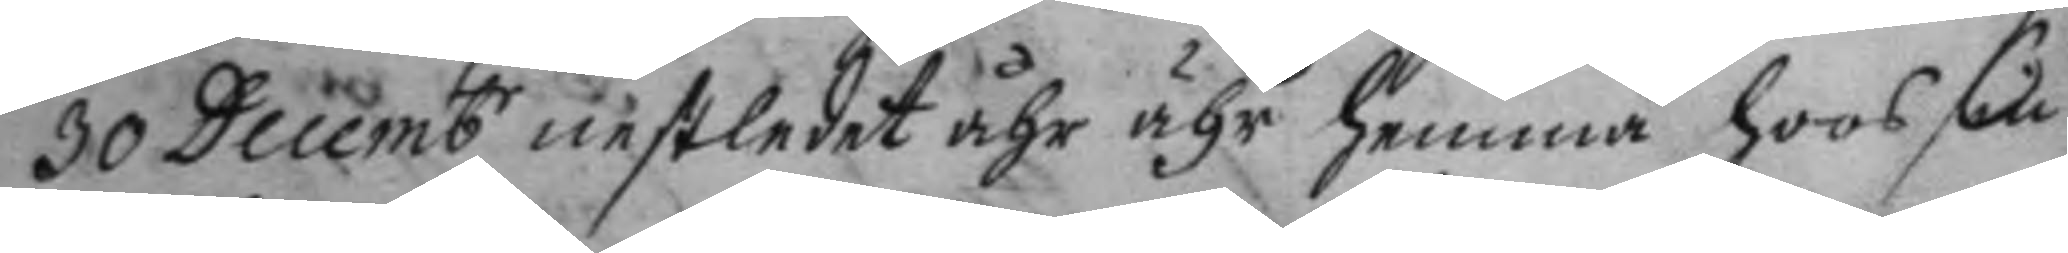30 Decembr nestledet åhr hemma hoos sin
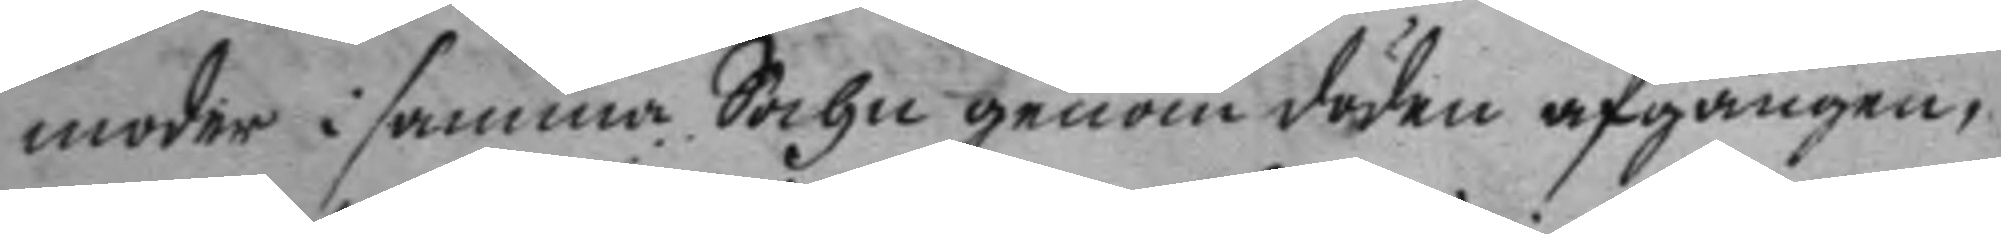moder i samma Sochn genom döden afgången,
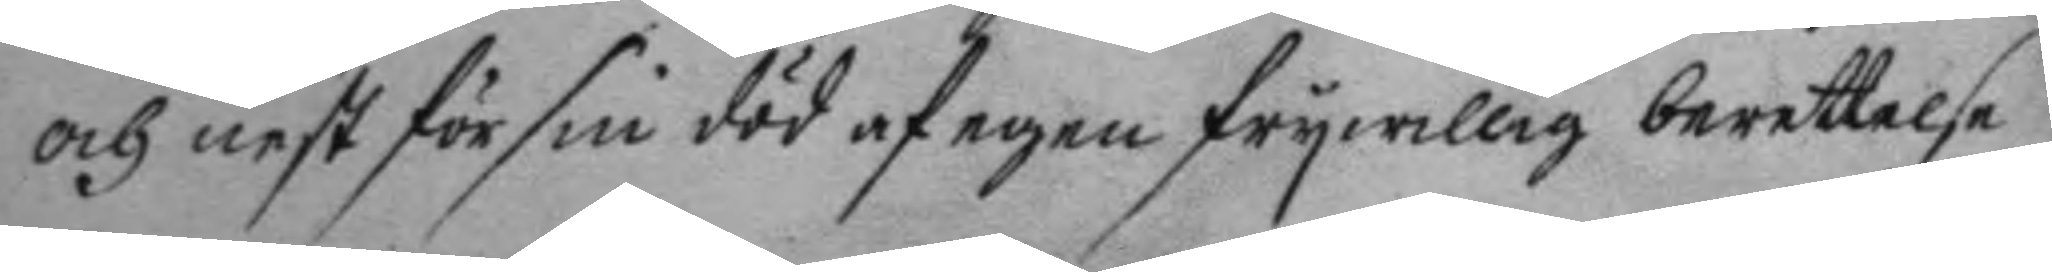och nest för sin död af egen frywillig berettelse
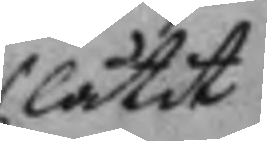låtit
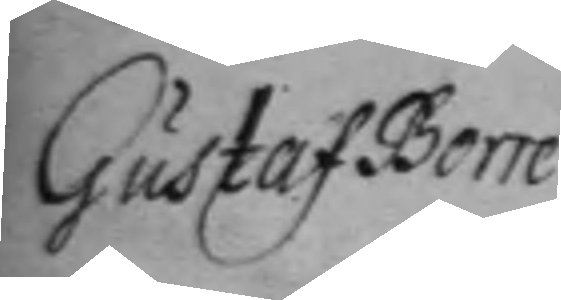Gustaf Borre
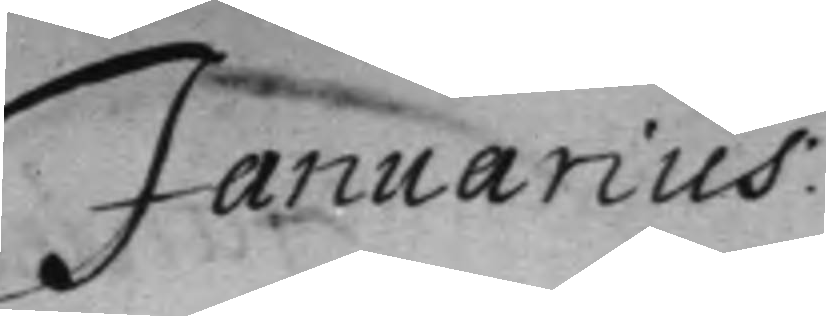Januarius:
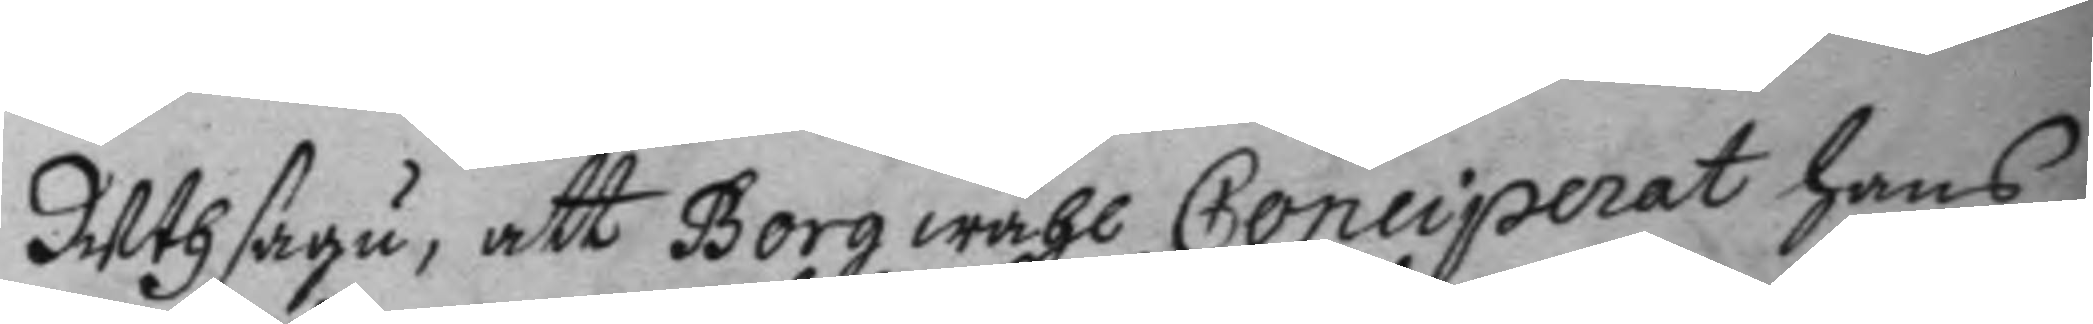Uthsagu, att Borg wähl Conciperat hans
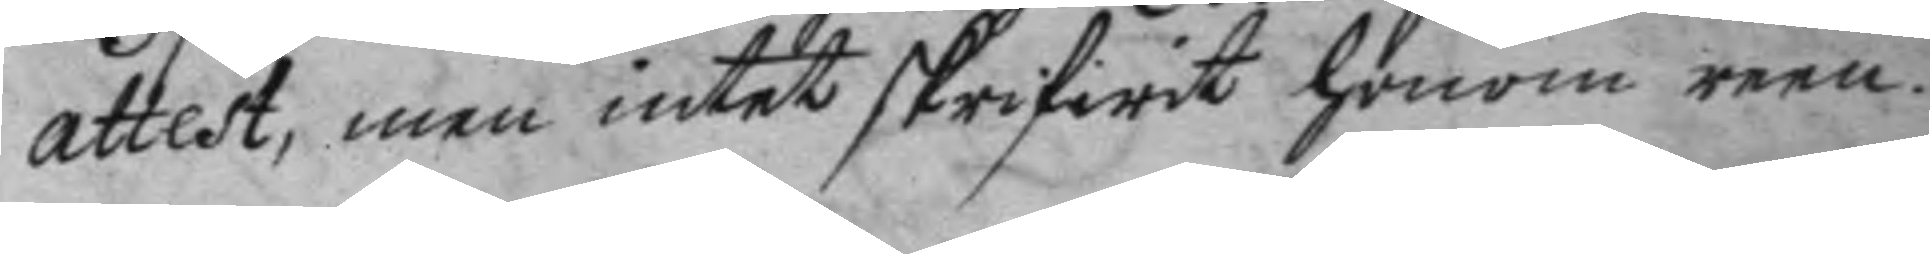attest, men intet skrifwit honom reen.
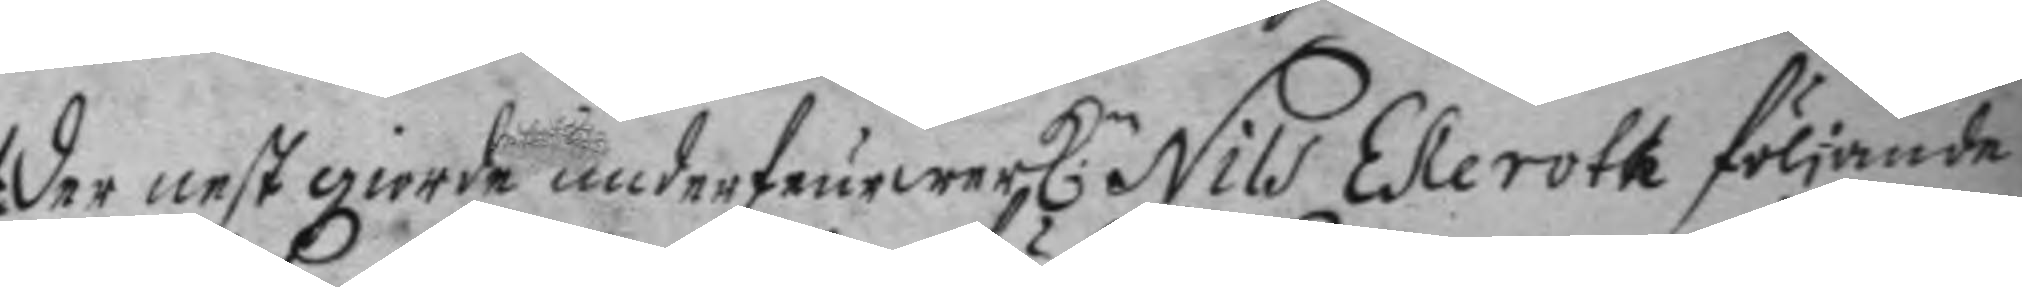der nest giorde underfeurwerkl.n Nils Ekeroth följande
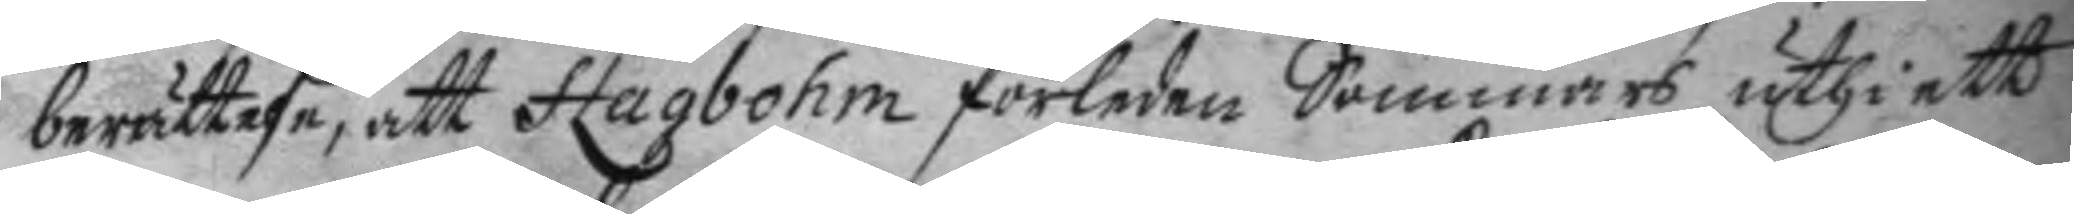berättelse, att Hagbohm förleden Sommars uthi ett
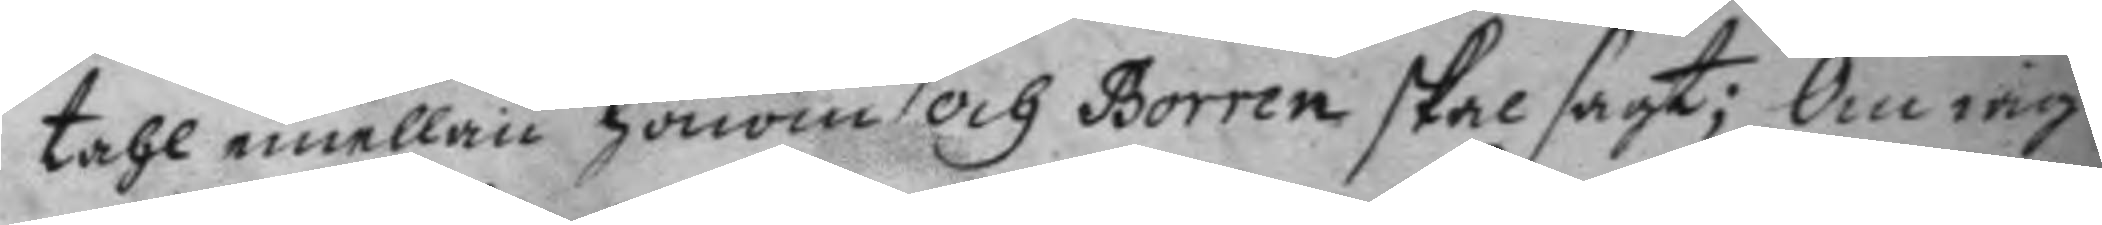tahl emellan honom och Borren skal sagt; Om iag
